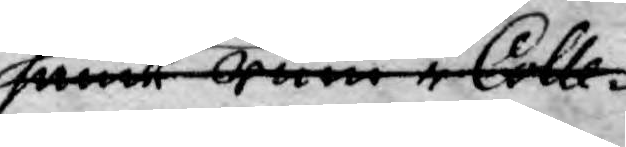samt rum i Colle¬
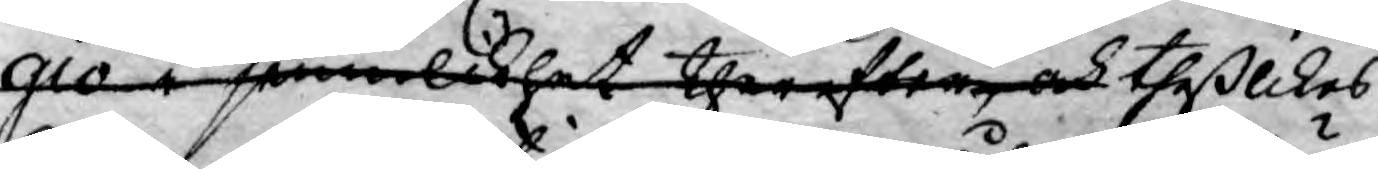gio i jemnlikhet therefter och theß likes
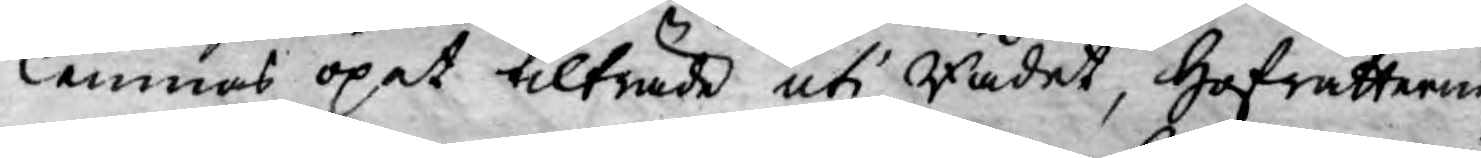lemnas öpet tilträde uti Rådet, Hofrätterne
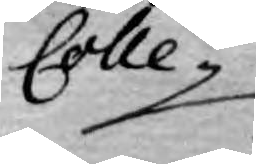Colle¬
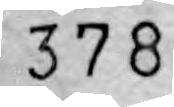378
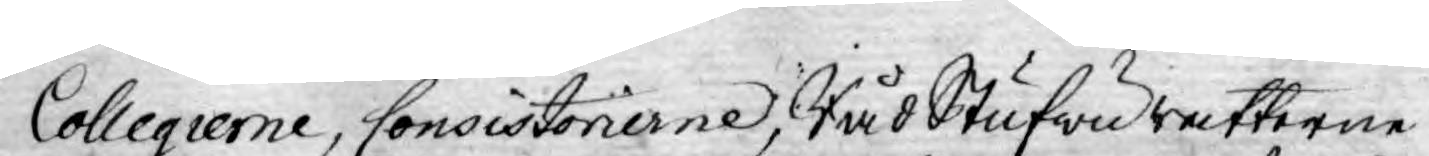Collegierne, Consistorierne, Råd Stufwu rätterne
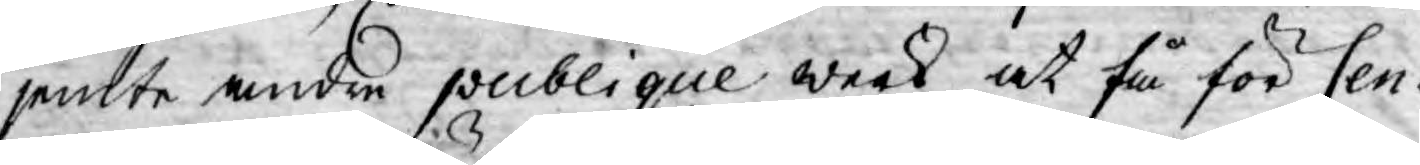jemlte andre publique werk, at få för Cen¬
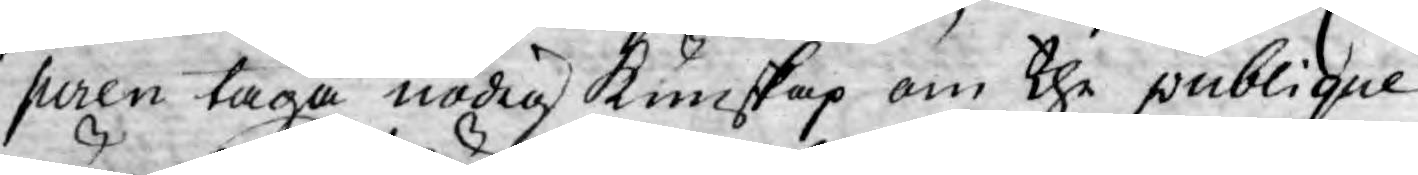suren taga nödig kunskap om the publique
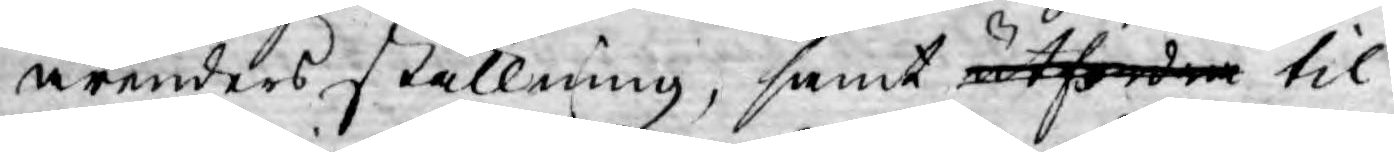ärenders ställning, samt utfordra til
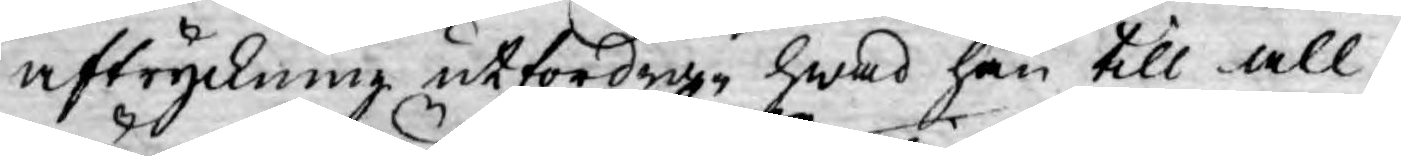aftryckning utfordra, hwad han till all¬
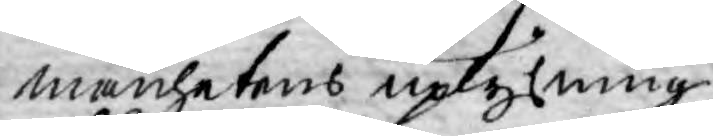mänhetens uplysning
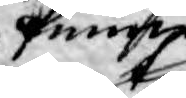finner
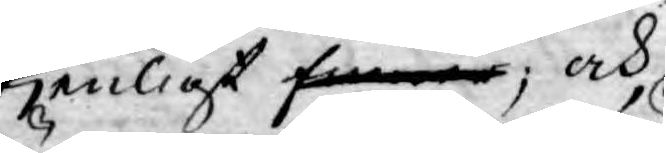tjenligt finner; och
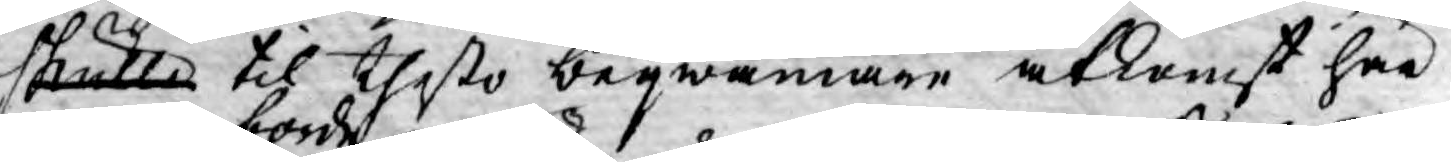skulle til thesto beqwämare åtkomst här¬
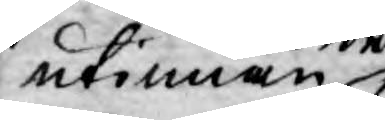utinnan borde 
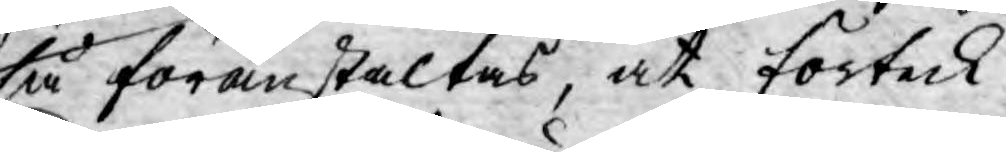så föranstaltas, at förteck¬
